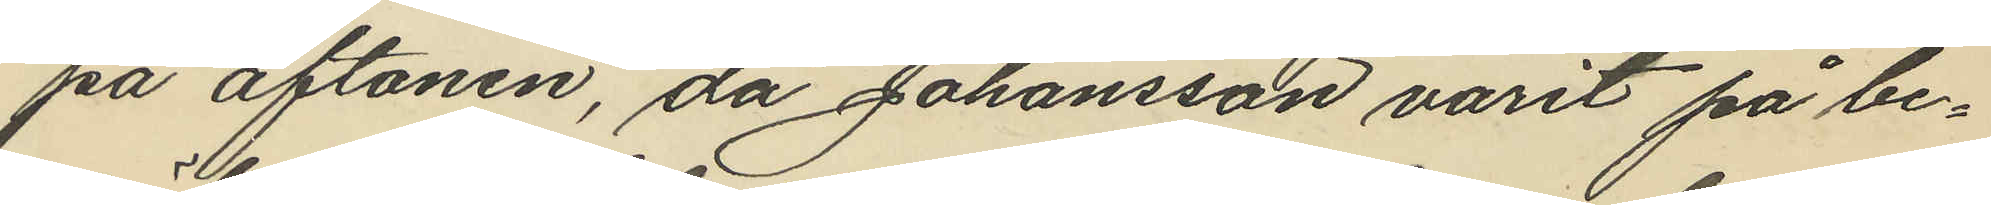på aftonen, då Johansson varit på be¬
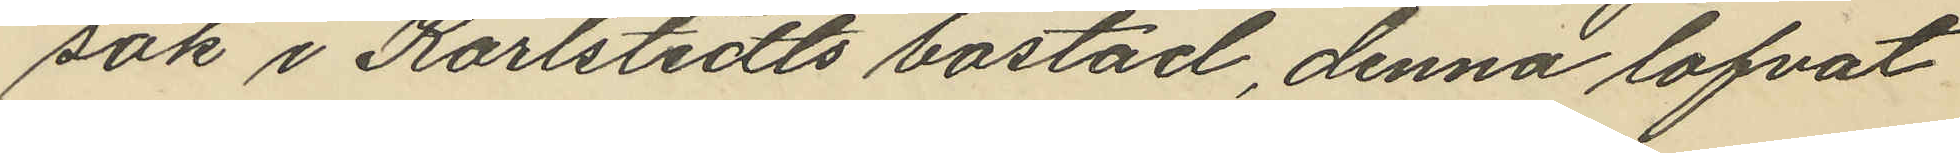sök i Karlstedts bostad, denna lofvat
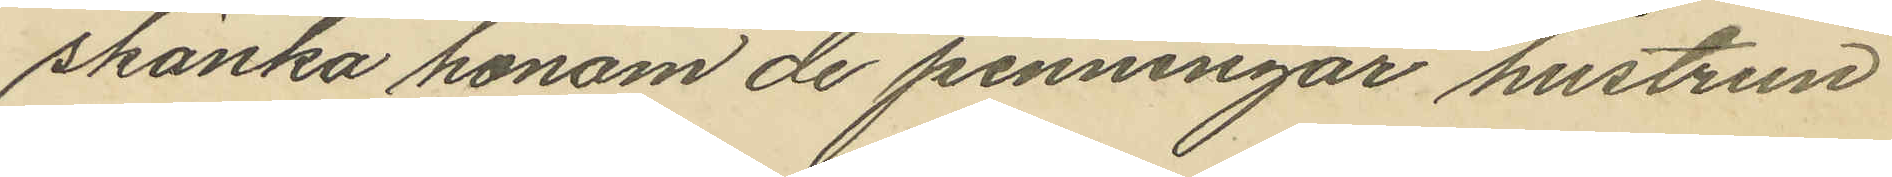skänka honom de penningar hustrun
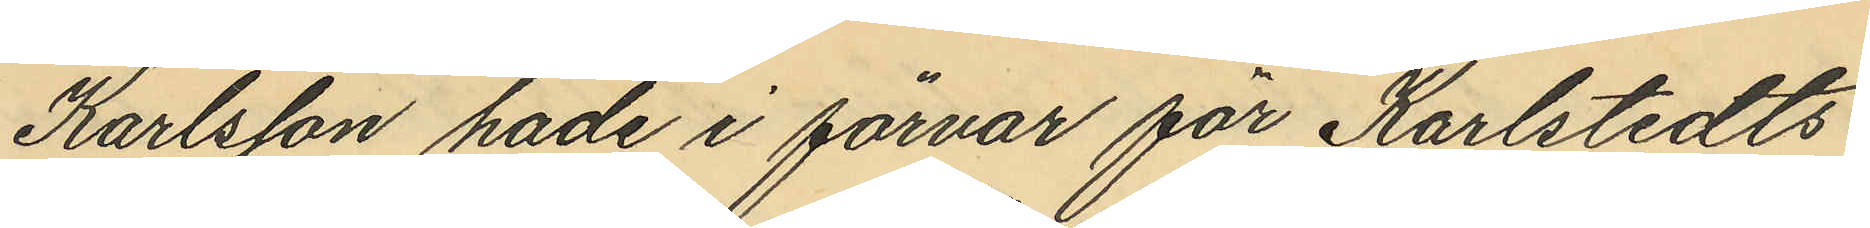Karlsson hade i förvar för Karlstedts
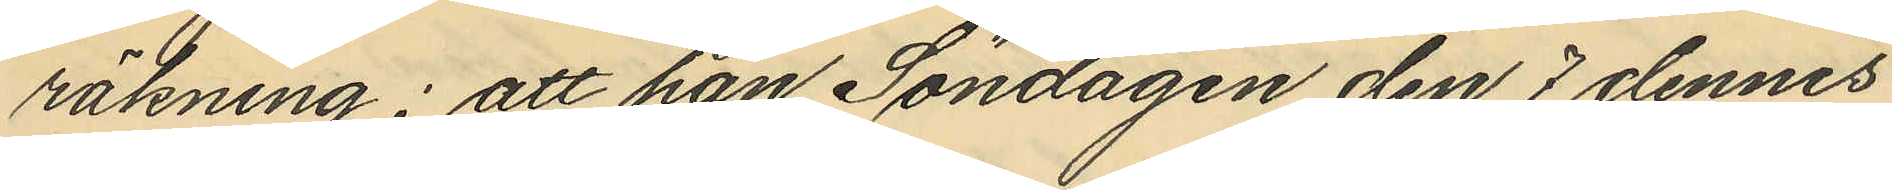räkning; att han Söndagen den 7 dennes
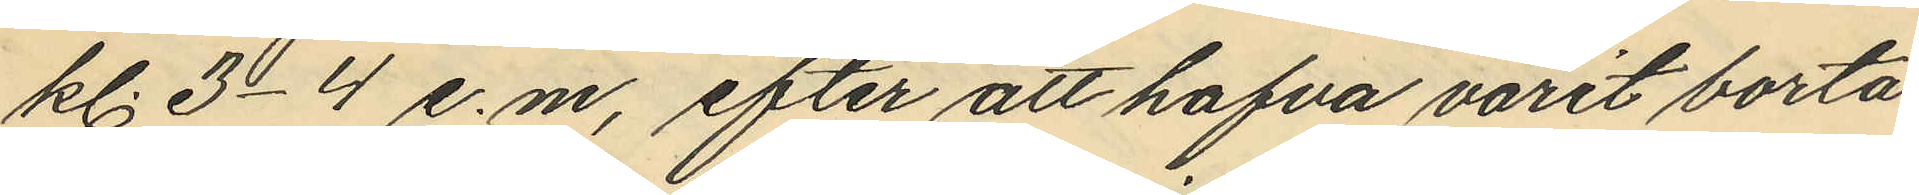kl. 3-4 e.m., efter att hafva varit borta
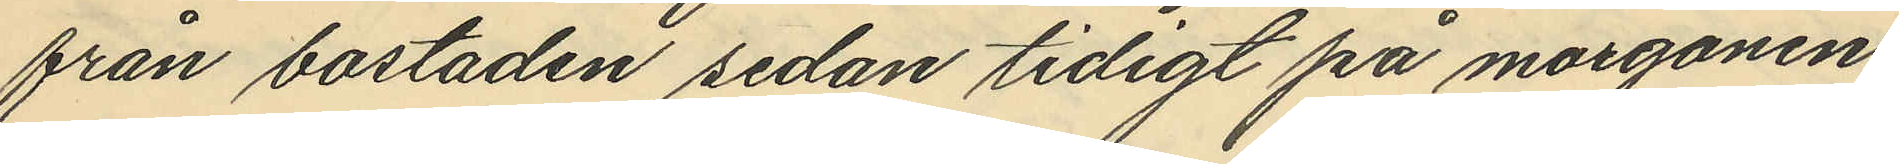från bostaden sedan tidigt på morgonen,
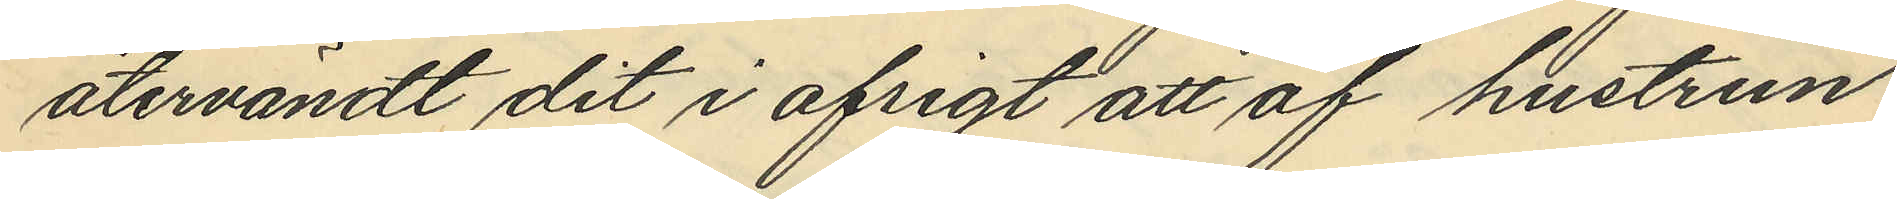återvändt dit i afsigt att af hustrun
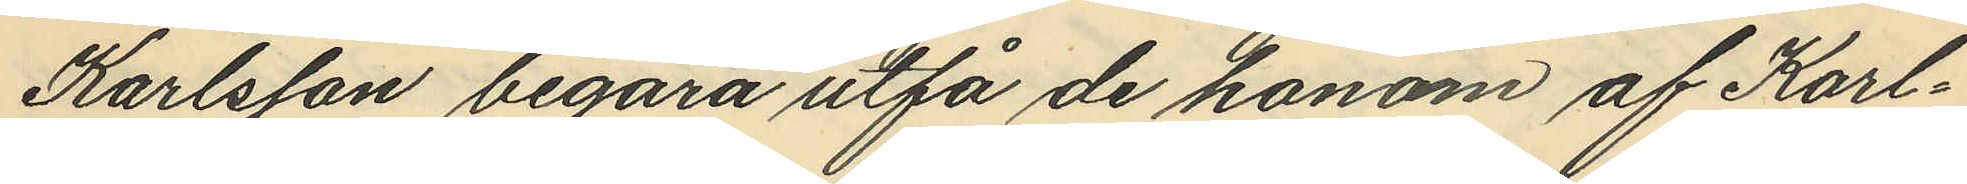Karlsson begära utfå de honom af Karl¬
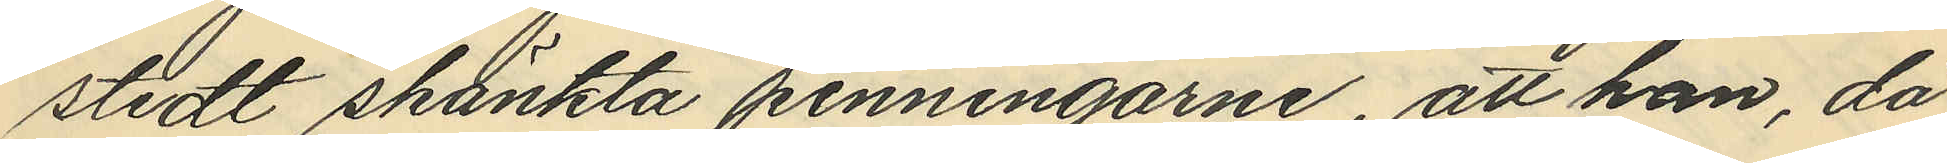stedt skänkta penningarne, att han, då
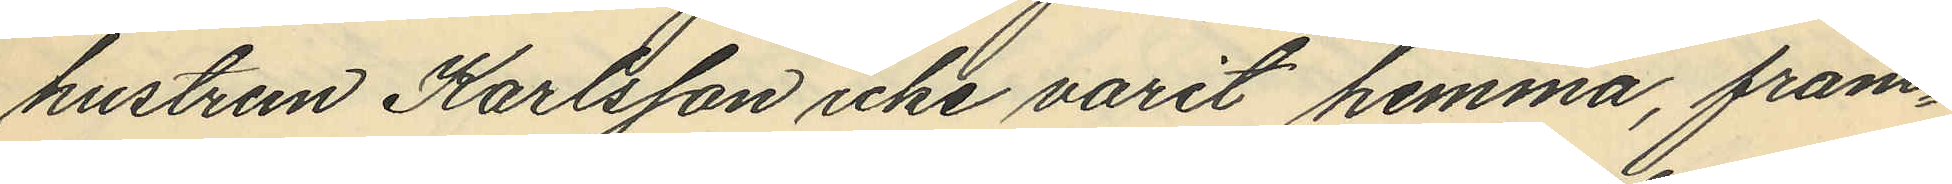hustrun Karlsson icke varit hemma, fram¬
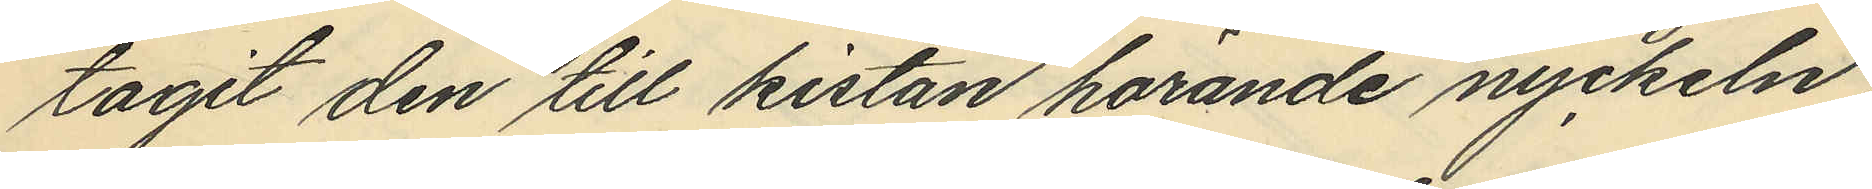tagit den till kistan hörande nyckeln,
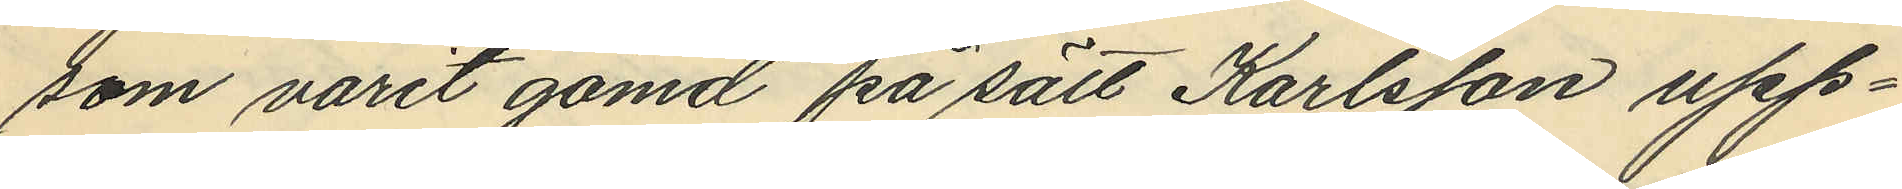som varit gömd på sätt Karlsson upp¬
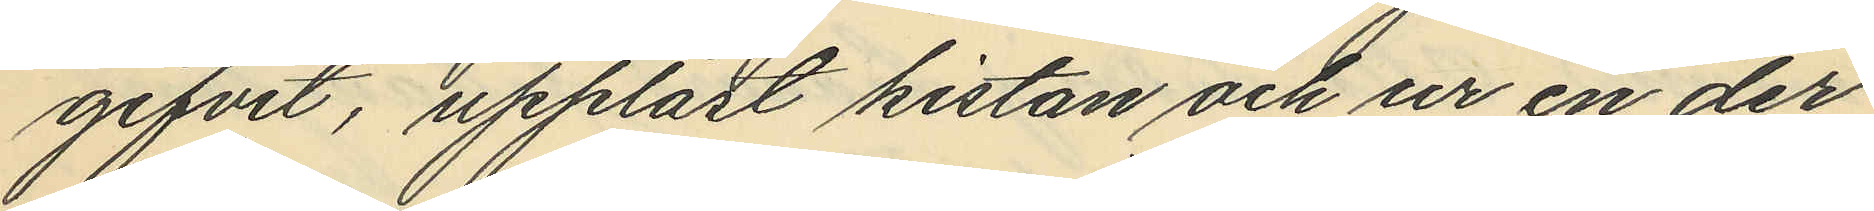gifvit, upplåst kistan och ur en der
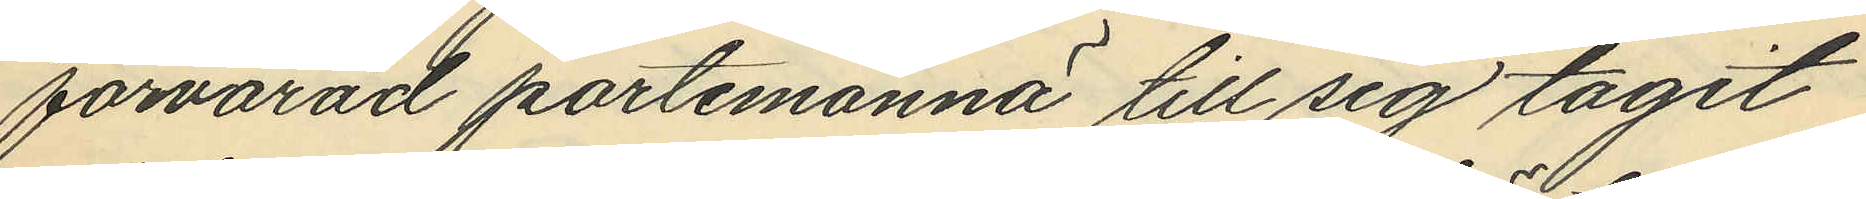förvarad portemonnä till sig tagit
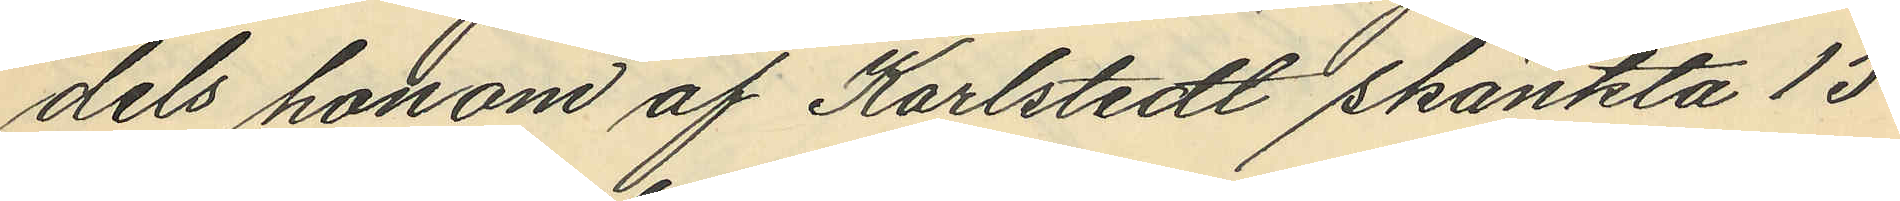dels honom af Karlstedt skänkta 15
